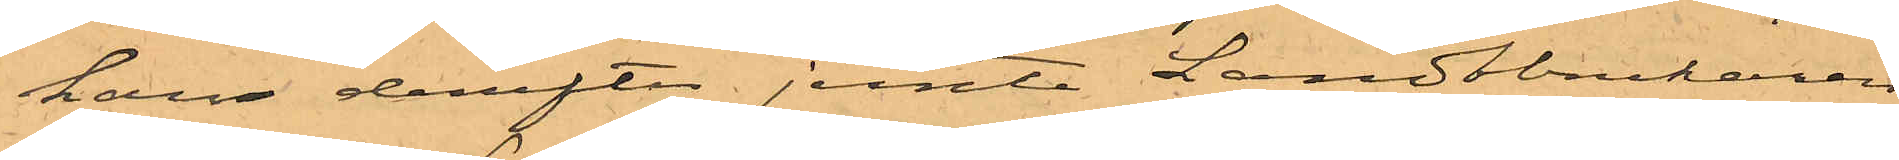han derefter jemte Landtbrukaren
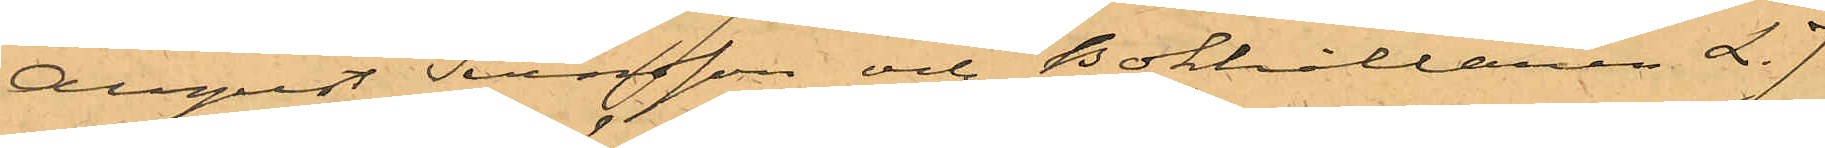August Svensson och Bokhållaren L. J.
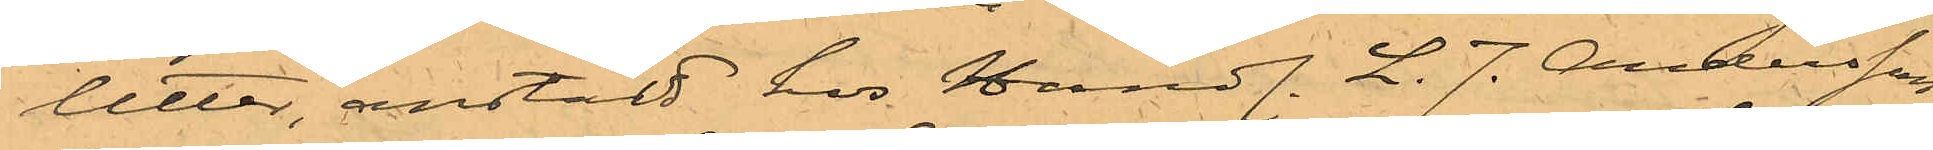Utter, anstäld hos Handl. L. J. Andersson 
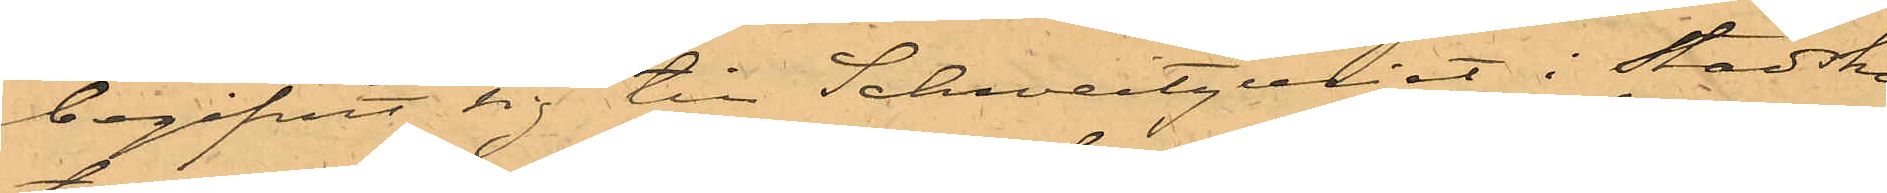begifvit sig till Schweitzeriet i Stadsho¬
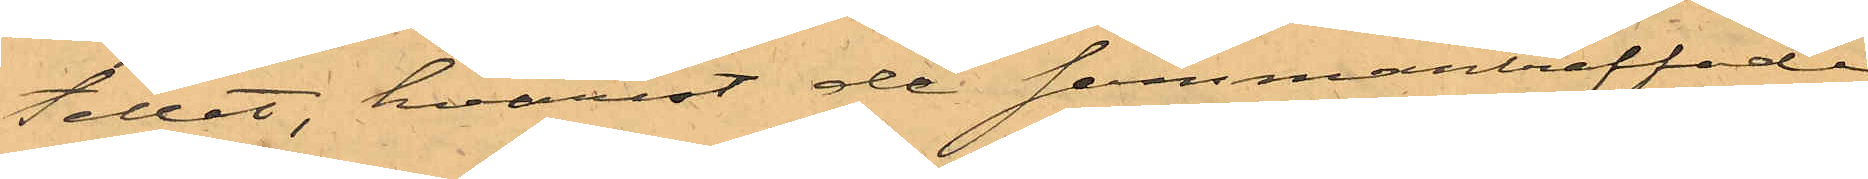tellet, hvarest de sammanträffade
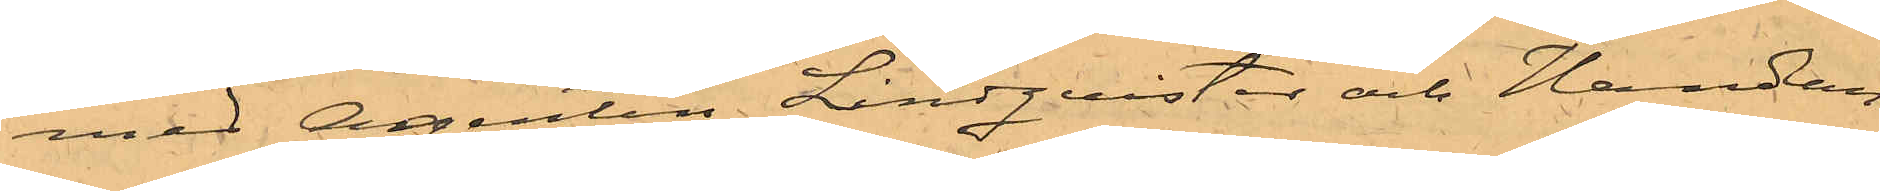med Agenten Lindquister och Handlan¬
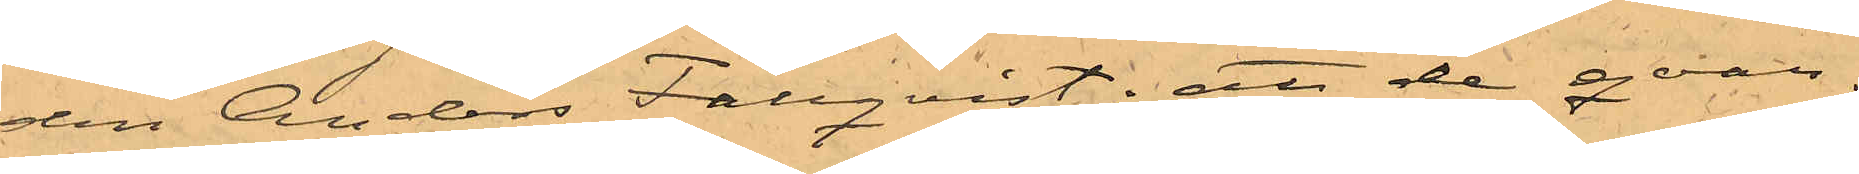den Anders Fallqvist; att de qvar¬
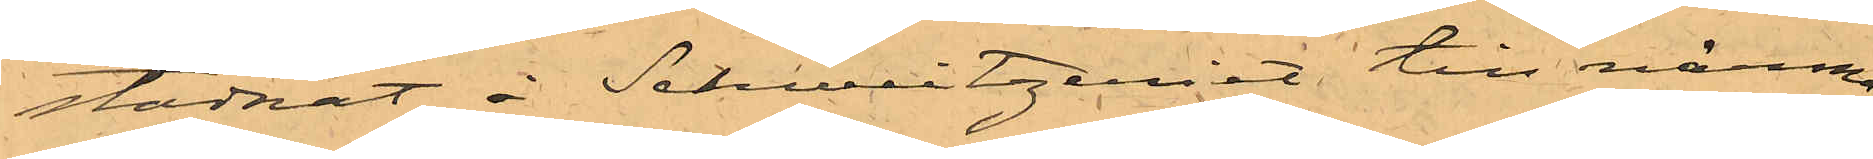stadnat i Schweitzeriet till närma¬
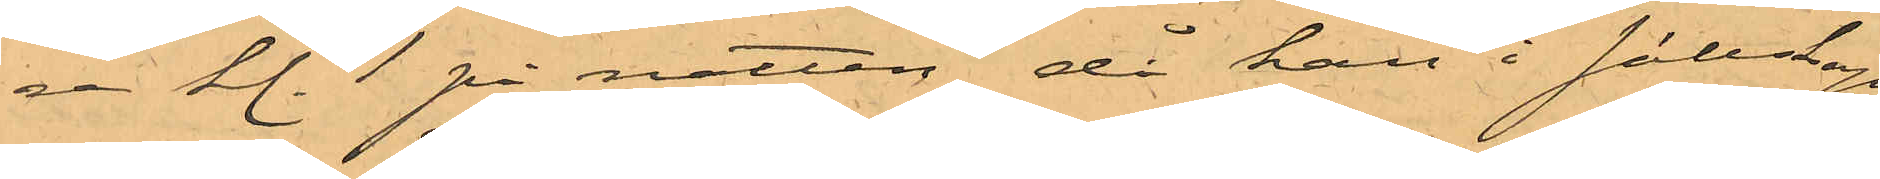re kl. 1 på natten, då han i sällskap
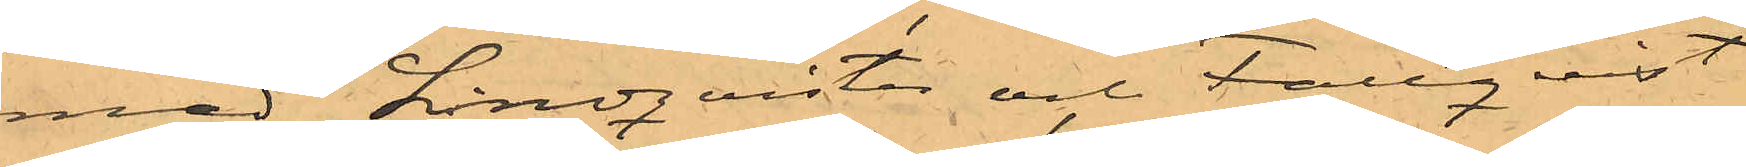med Lindquister och Fallquist
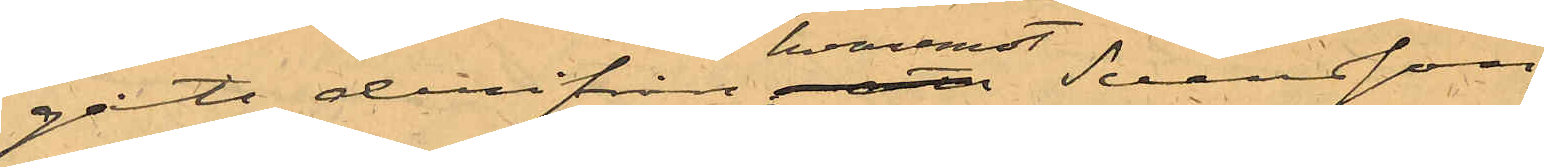gått derifrån hvaremot Svensson
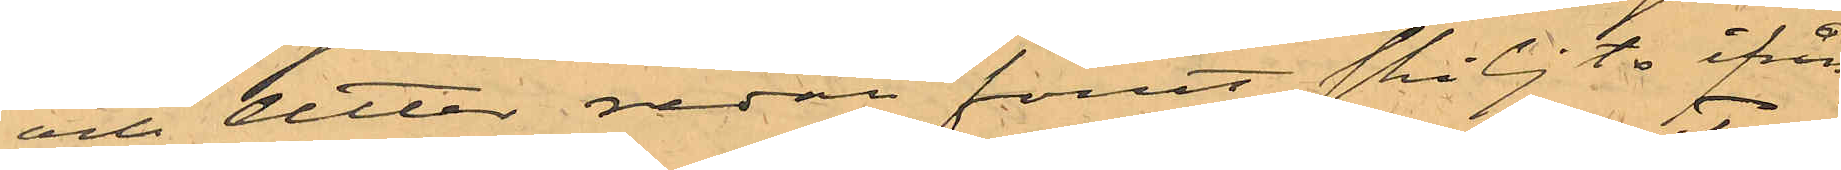och Otter redan förut skiljts ifrån
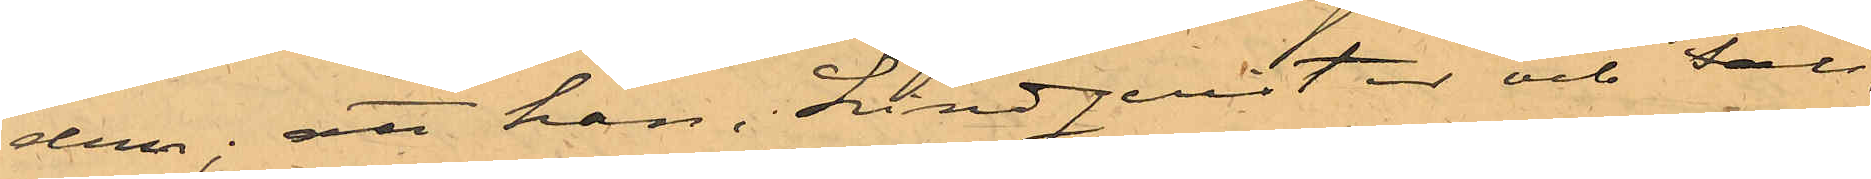dem; att han, Lindquister och Fall¬
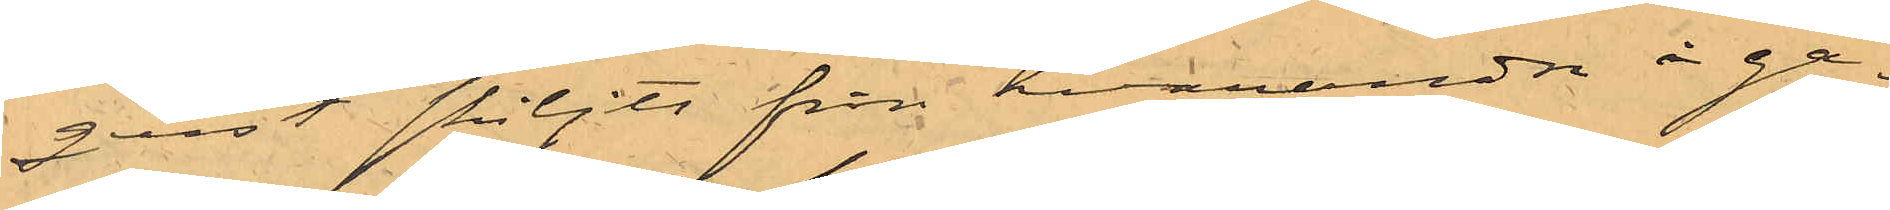quist skiljts ifrån hvarandra i ga¬
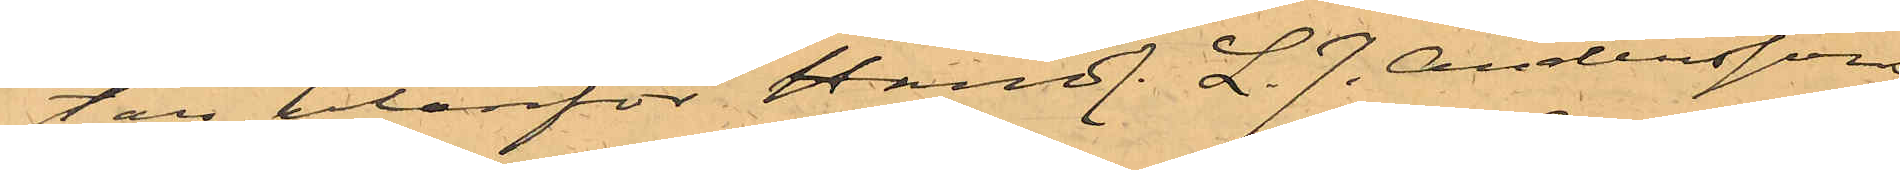tan utanför Handl. L. J. Anderssons
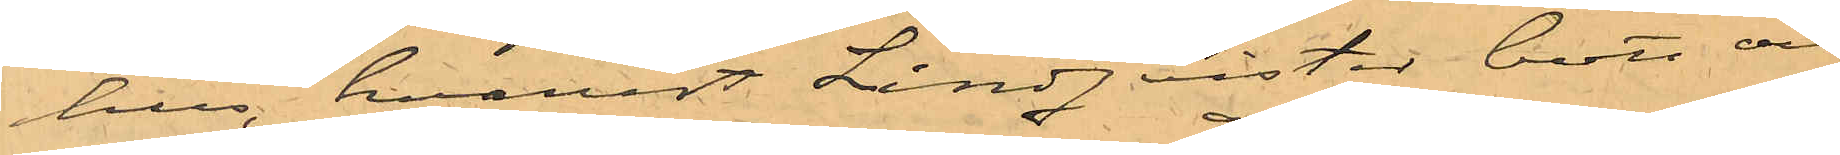hus, hvarest Lindquister bott och
